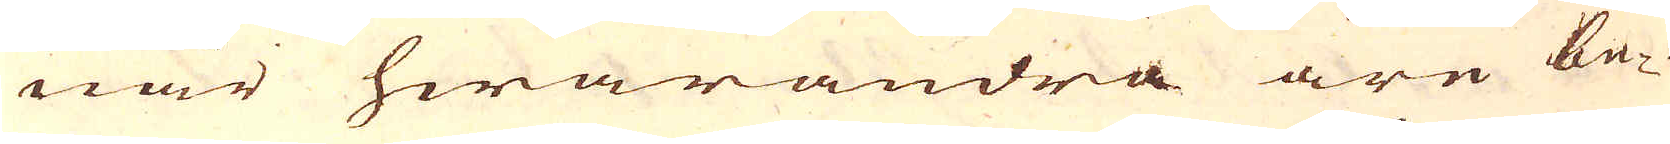när hwarandra äre be-
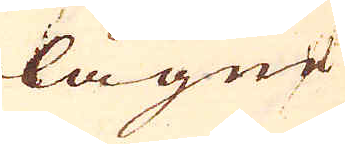lägne
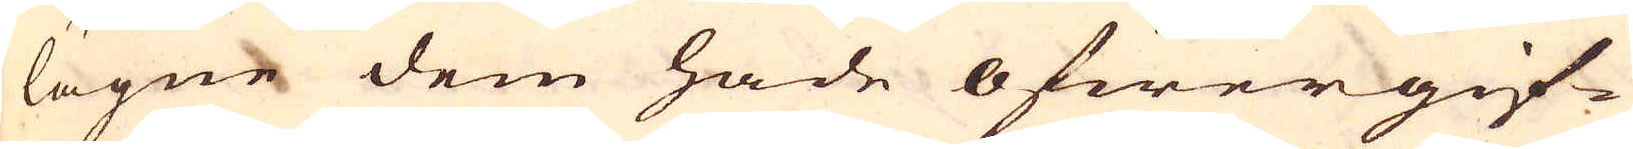lägne dem hade öfwergif-
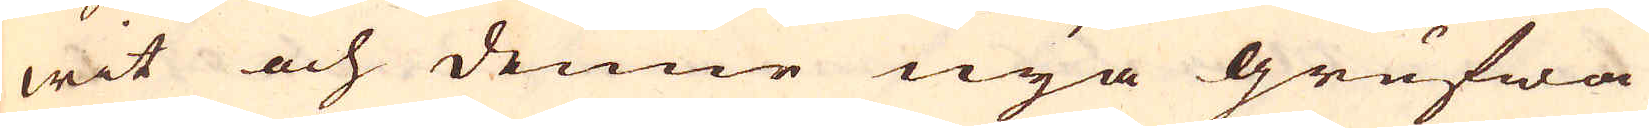wit och denne nya grufwa
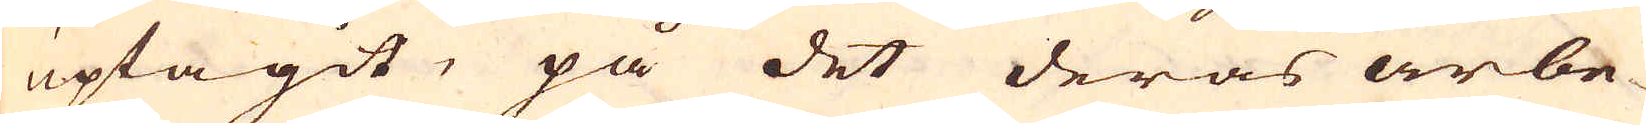uptagit, på det deras arbe-
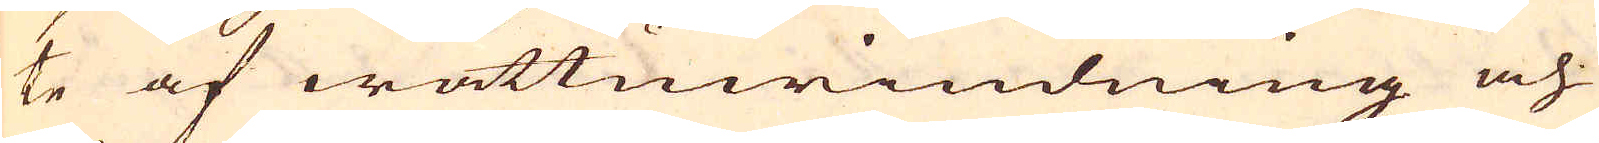te af wattuwindning och
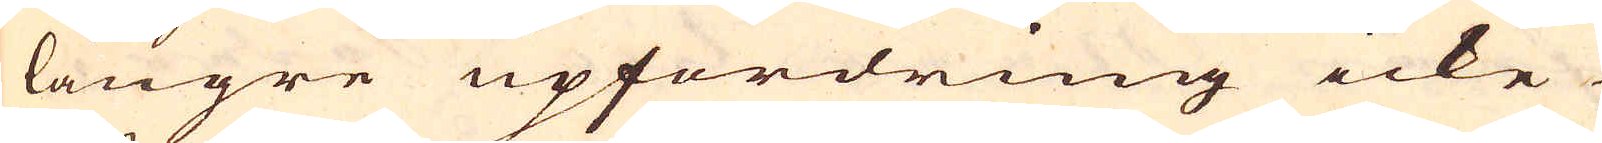längre upfordring icke
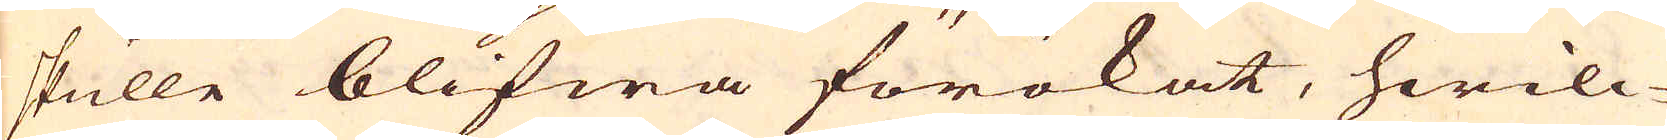skulle blifwa förökat, hwilc-
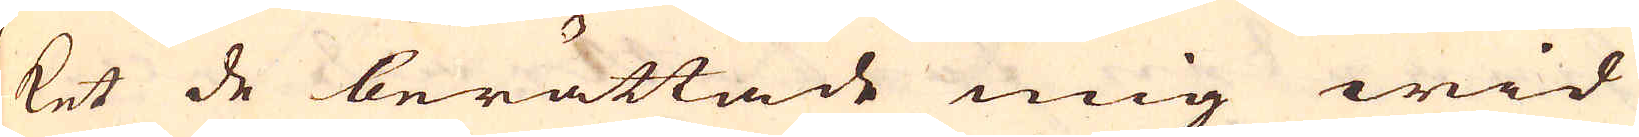ket de berättade mig wid
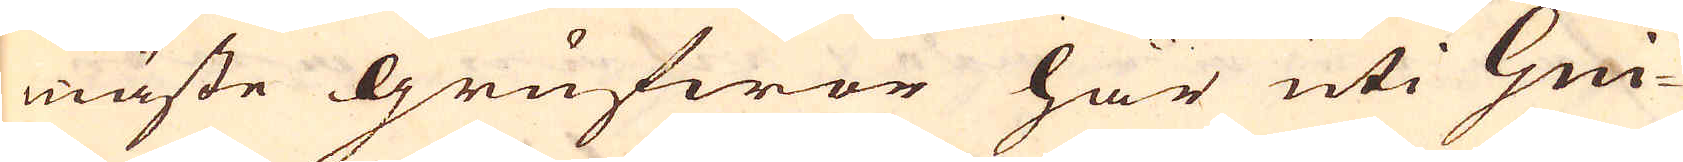måste grufwor här uti Gui-
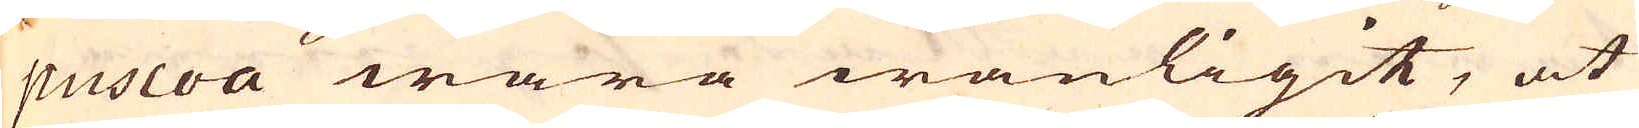puscoa wara wanligit, at
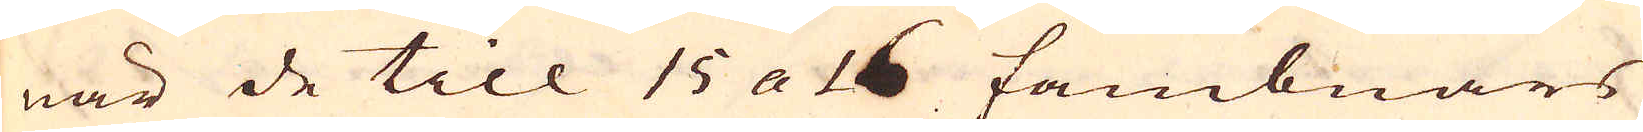när de till 15 a 16 fambnars
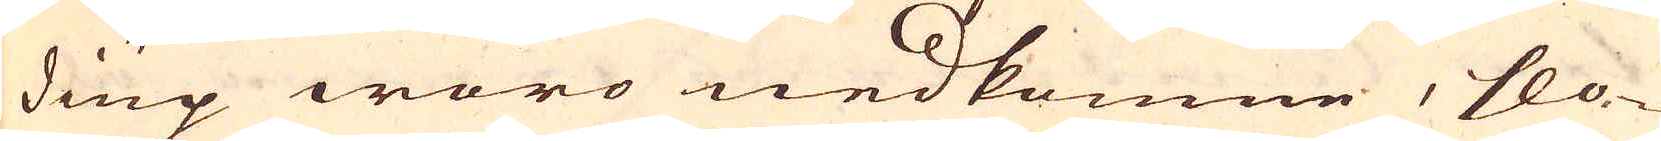diup woro nedkomne, slo-
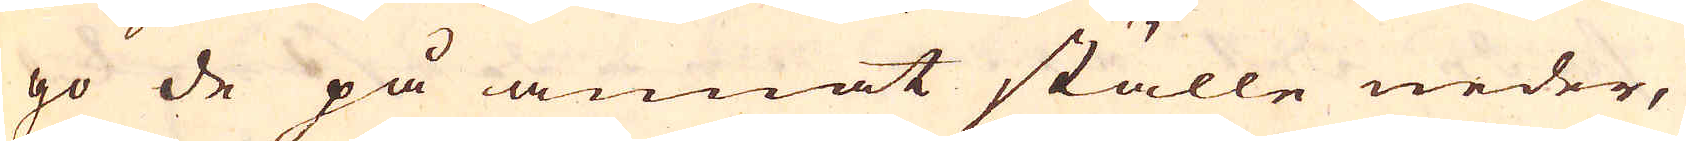go de på annat ställe neder,
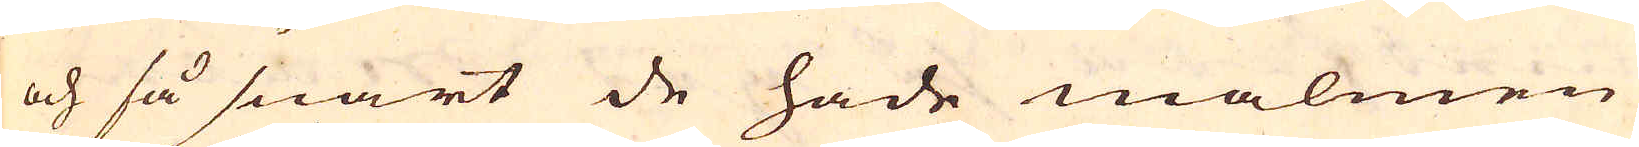och så snart de hade malmen
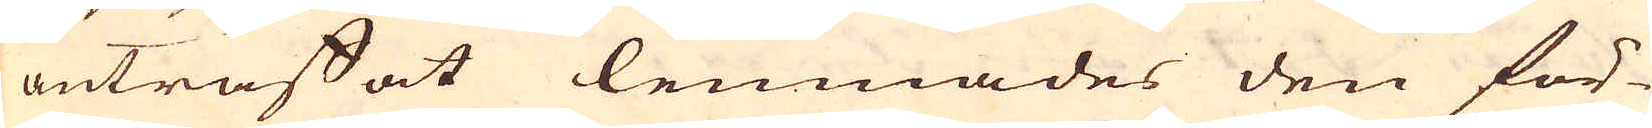anträffat lemnades den för-
